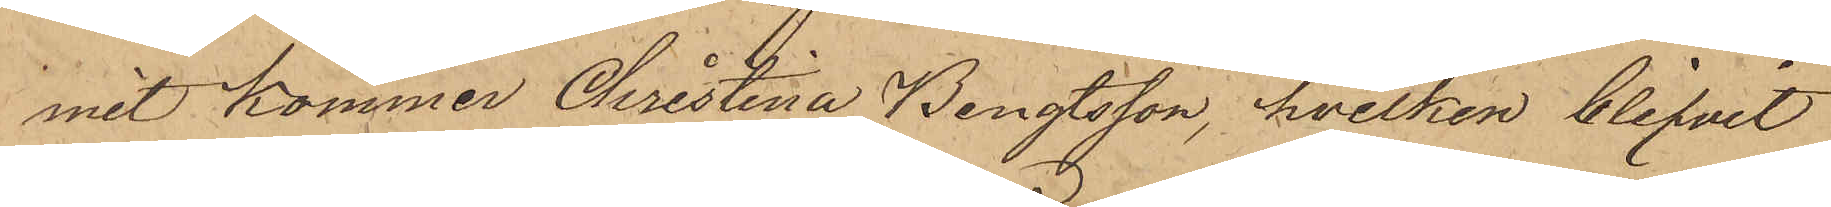mit kommer Christina Bengtsson, hvilken blifvit
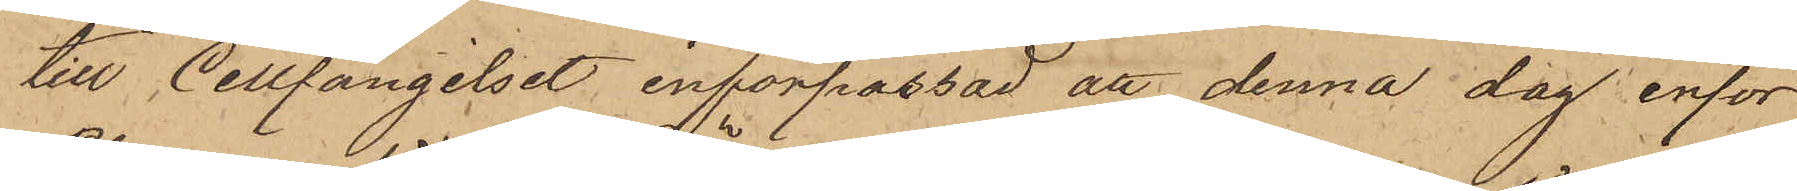till Cellfängelset införpassad att denna dag inför
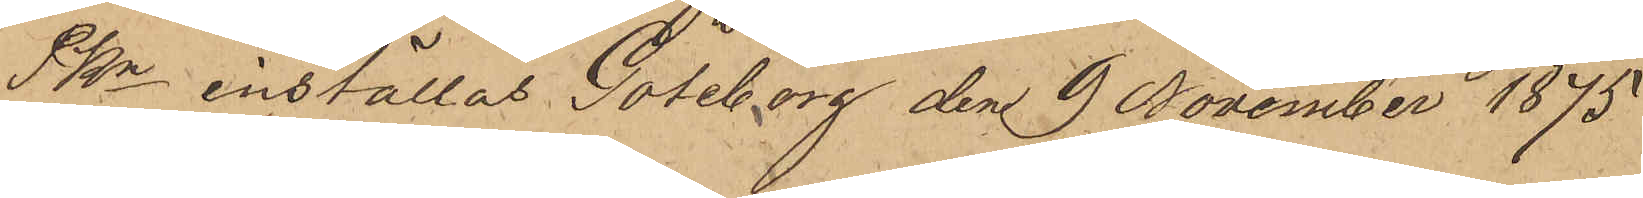PKn inställas. Göteborg den 9 November 1875
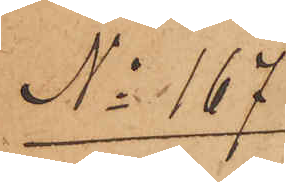No 167.
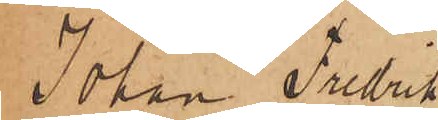Johan Fredrik
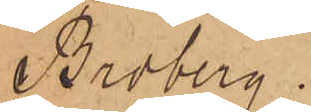Broberg.
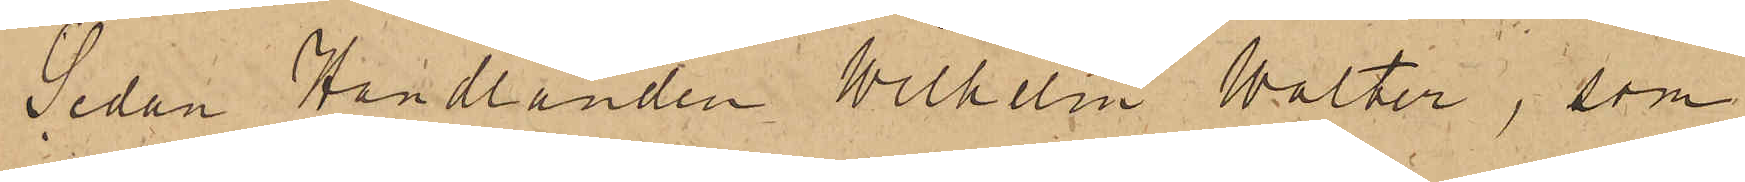Sedan Handlanden Wilhelm Walter, som
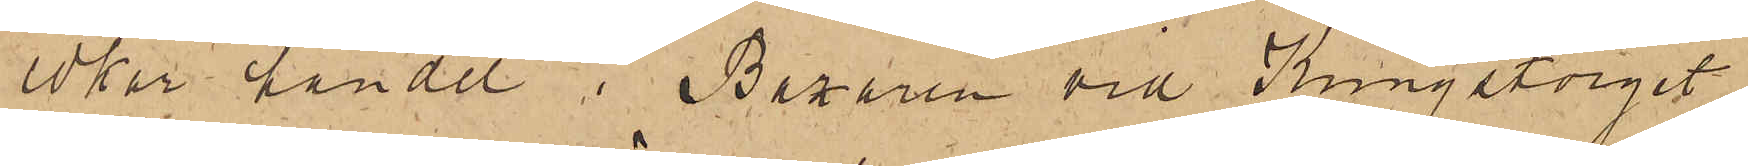idkar handel i Bazaren vid Kungstorget,
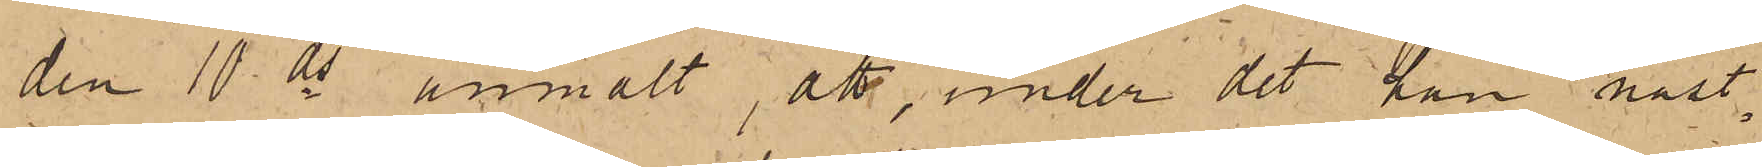den 10 ds anmält, att, under det han näst¬
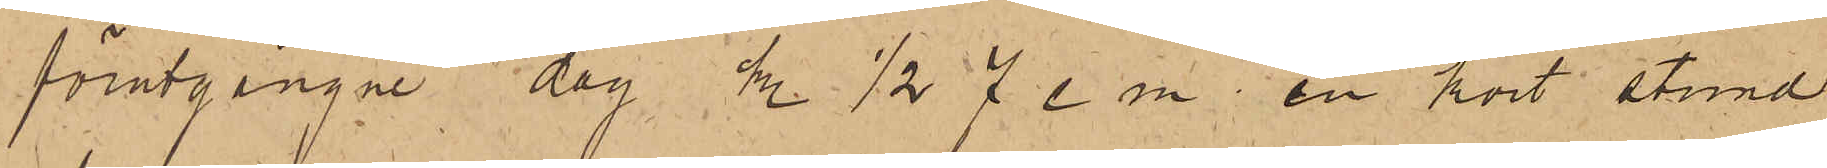förutgångne dag kl, 1/2 7 e m en kort stund
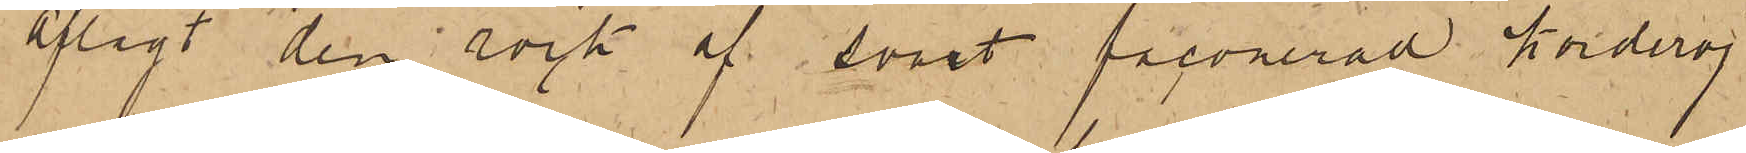aflagt den rock af svart faconerad korderoj
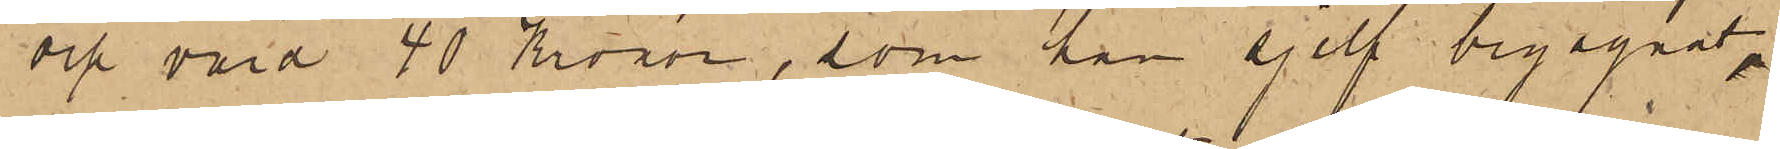och värd 40 Kronor, som han sjelf begagnat,
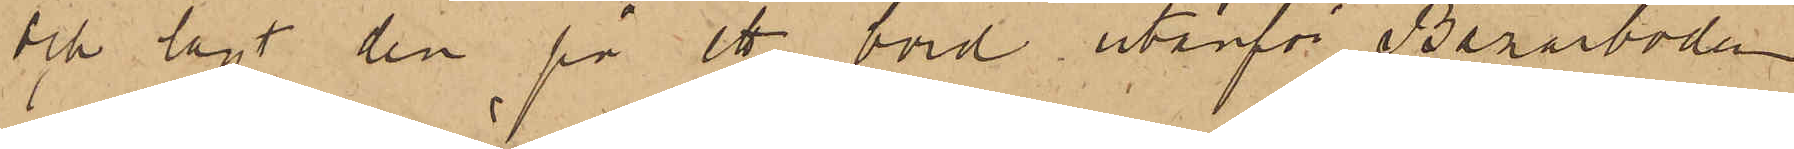och lagt den på ett bord utanför Bazarboden
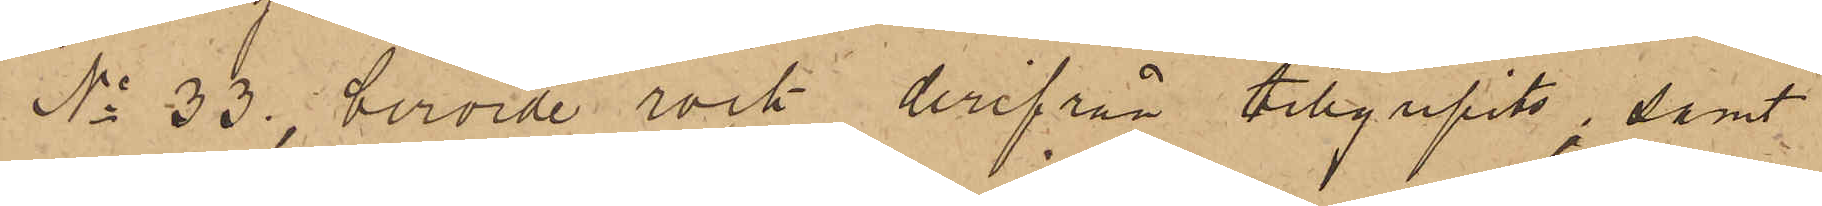No 33, berörde rock derifrån tillgripits; samt
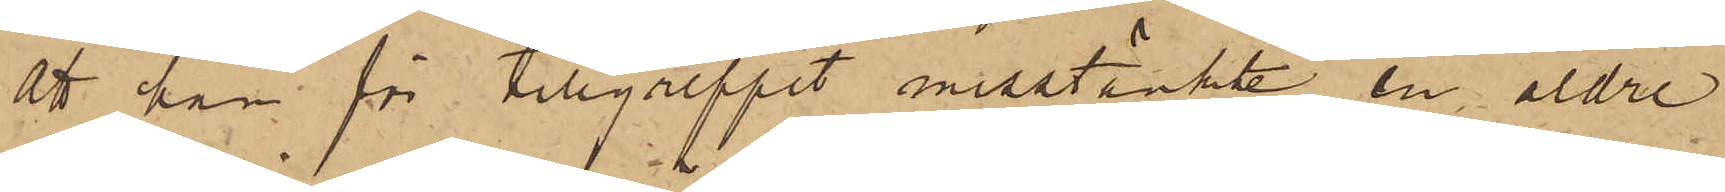att han för tillgreppet misstänkte en äldre
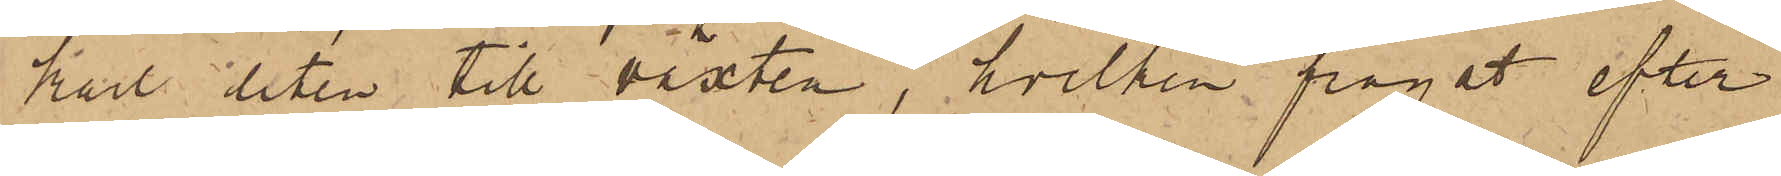karl liten till växten, hvilken frågat efter
